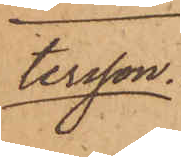tersson.
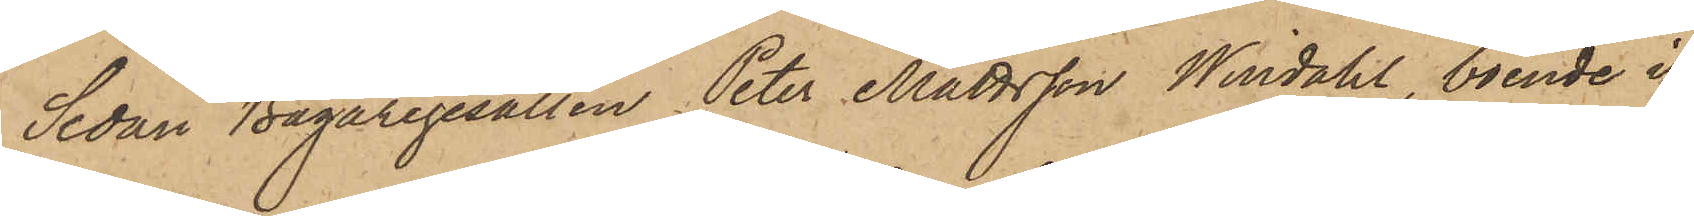Sedan Bagaregesällen Peter Mattsson Windahl, boende i
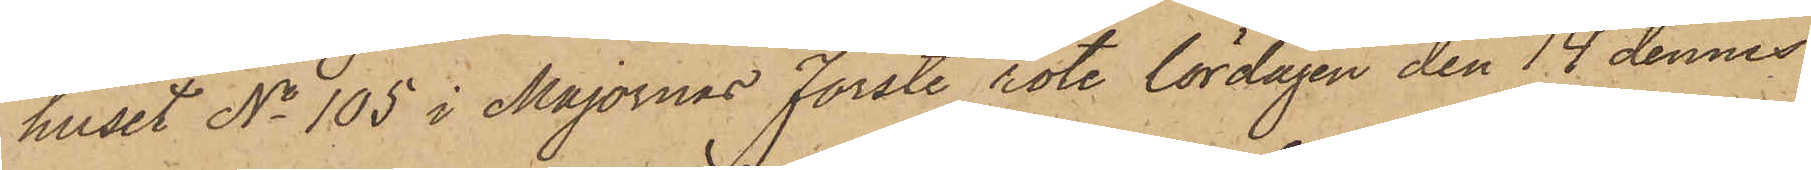huset No 105 i Majornas Förste rote lördagen den 14 dennes
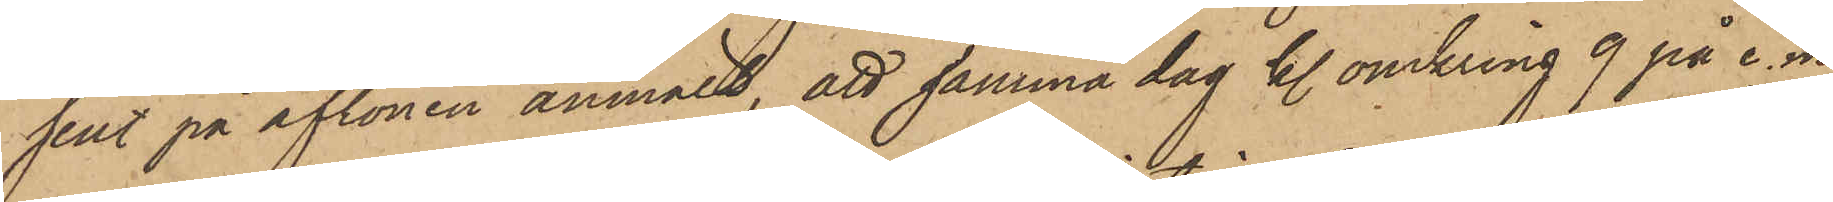sent på aftonen anmält, att samma dag kl. omkring 9 på e. m.
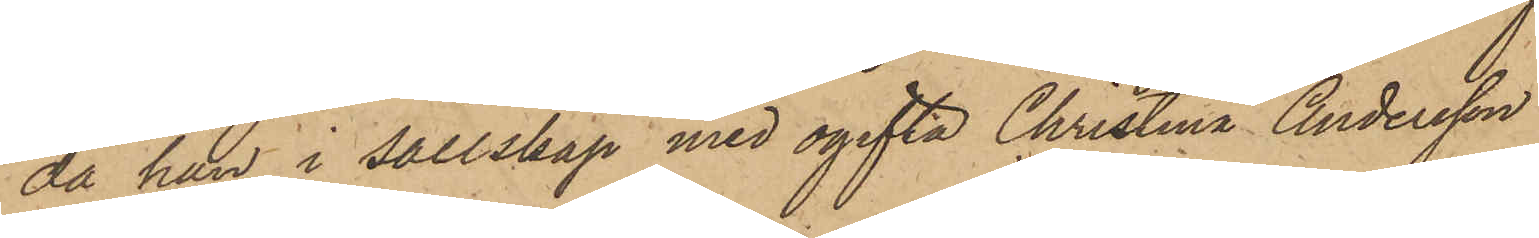då han i sällskap med ogifta Christina Andersson
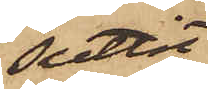suttit
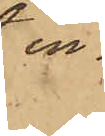in¬
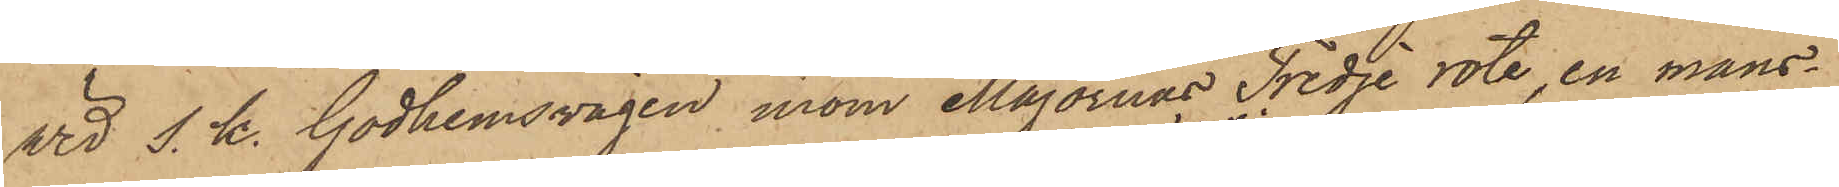vid s. k. Godhemsvägen inom Majornas Tredje rote, en mans¬
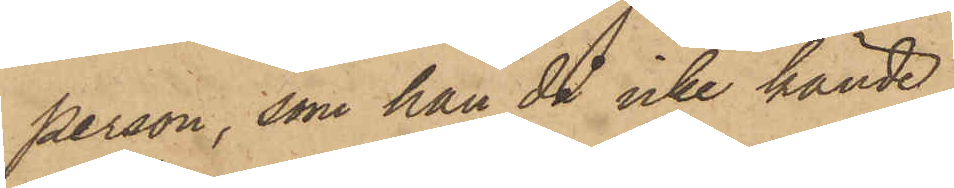person, som han då icke kände,
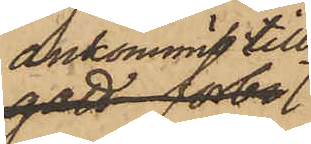ankommit till
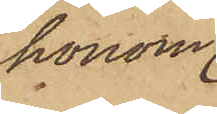honom
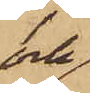och
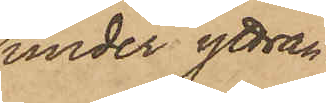under yttran¬
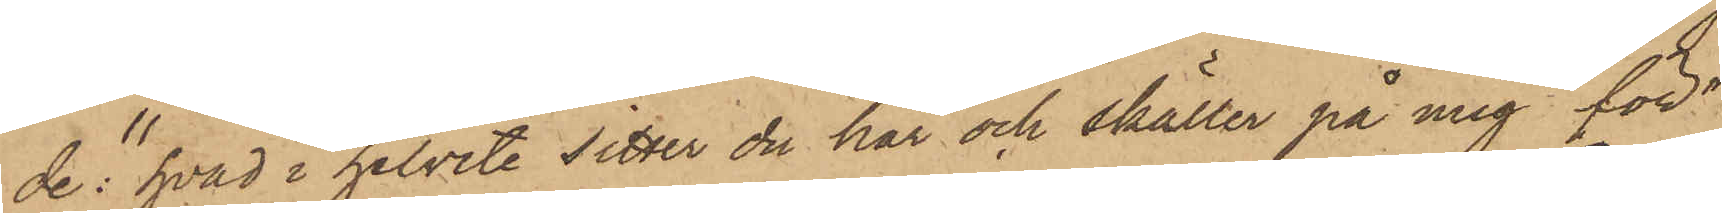de: "hvad i helvete sitter du här och skäller på mig för"
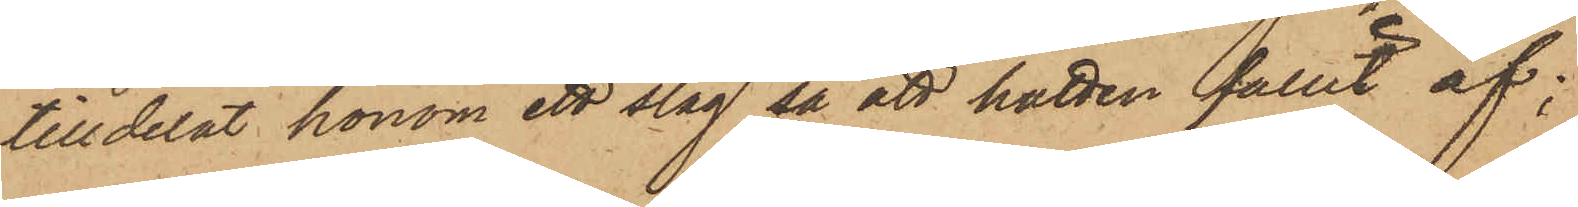tilldelat honom ett slag så att hatten fallit af;
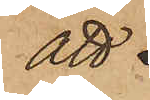att
